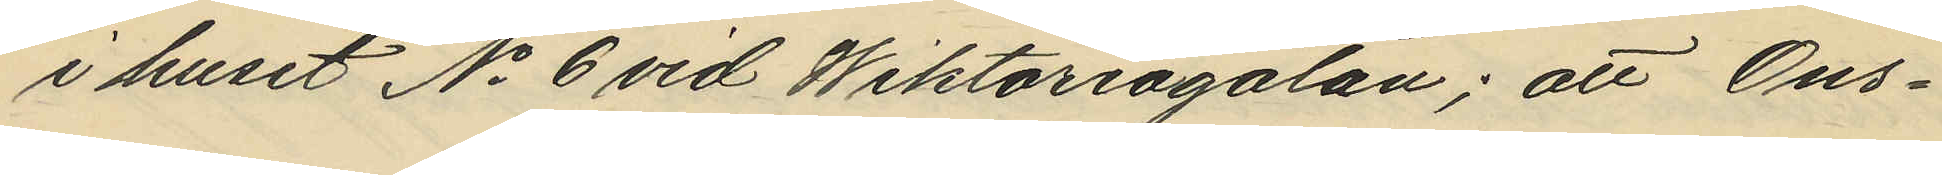i huset No 6 vid Wiktoriagatan; att Ons¬
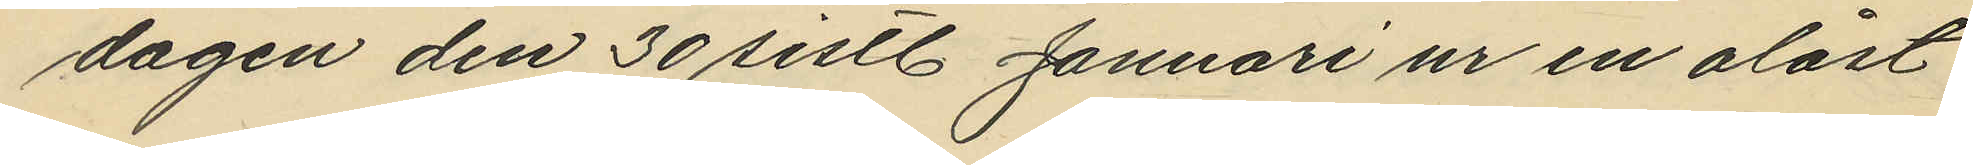dagen den 30 sistl. Januari ur en olåst
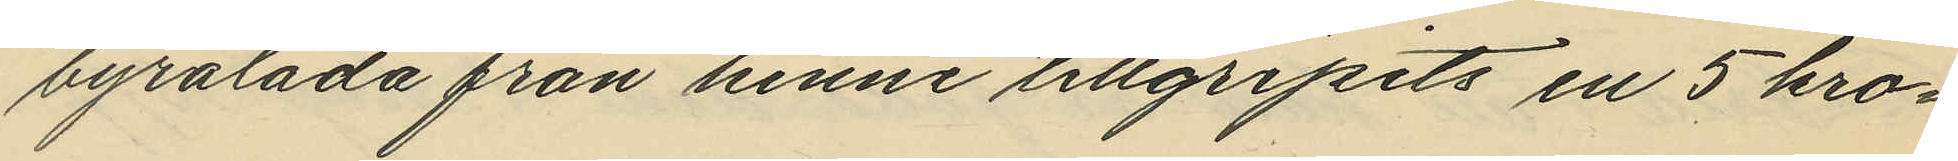byrålåda från henne tillgripits en 5 kro¬
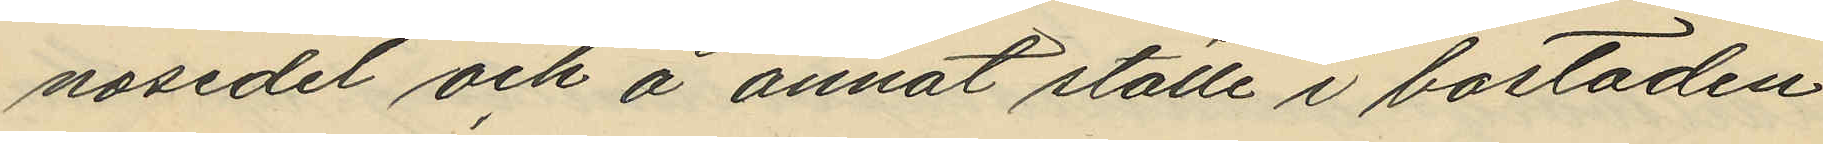nosedel och å annat ställe i bostaden
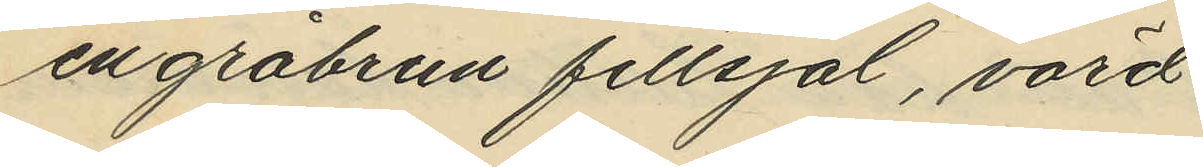en gråbrun filtsjal, värd
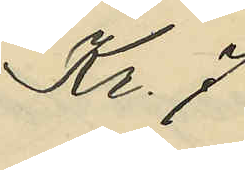Kr. 7
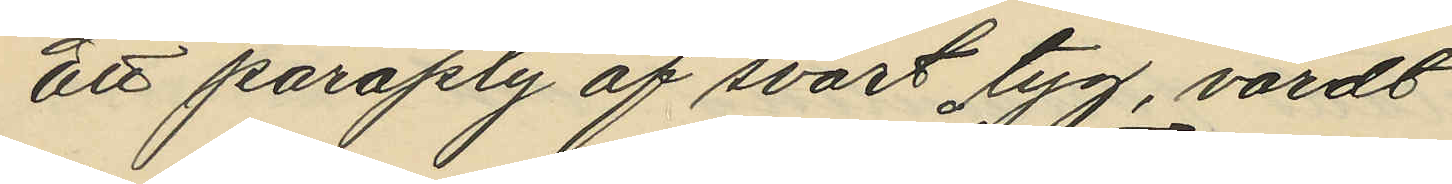Ett paraply af svart tyg, värdt
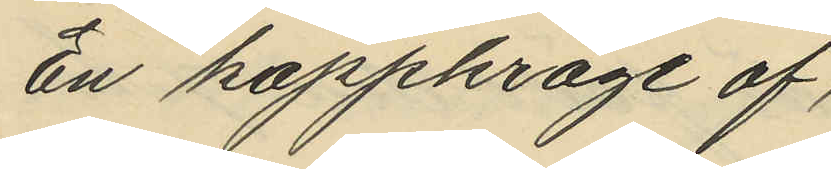En kappkrage af,
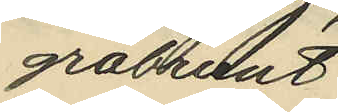gråbrunt
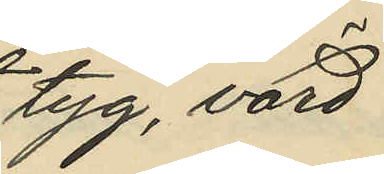tyg, värd
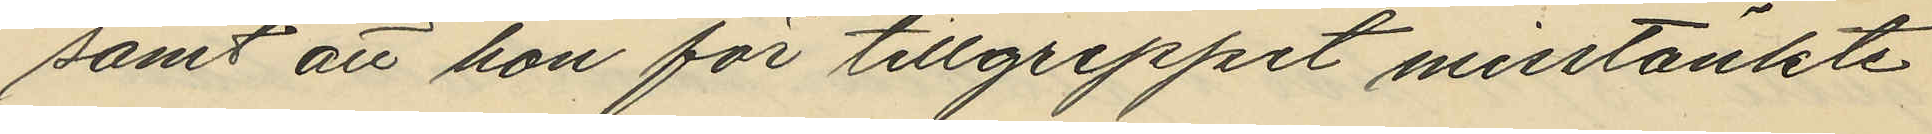samt att hon för tillgreppet misstänkte
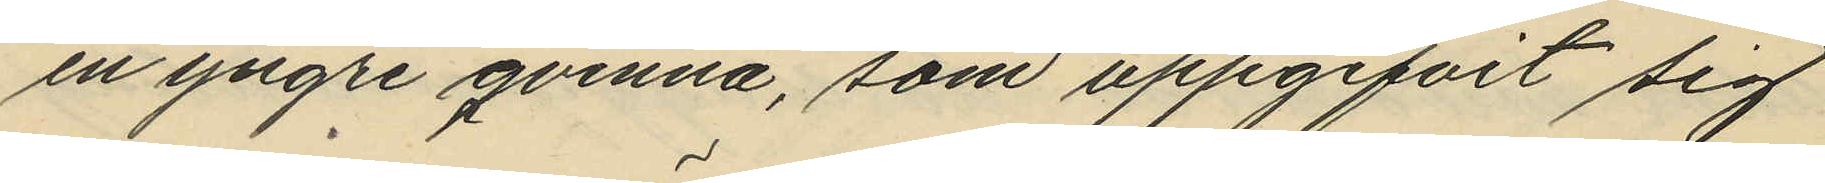en yngre qvinna, som uppgifvit sig
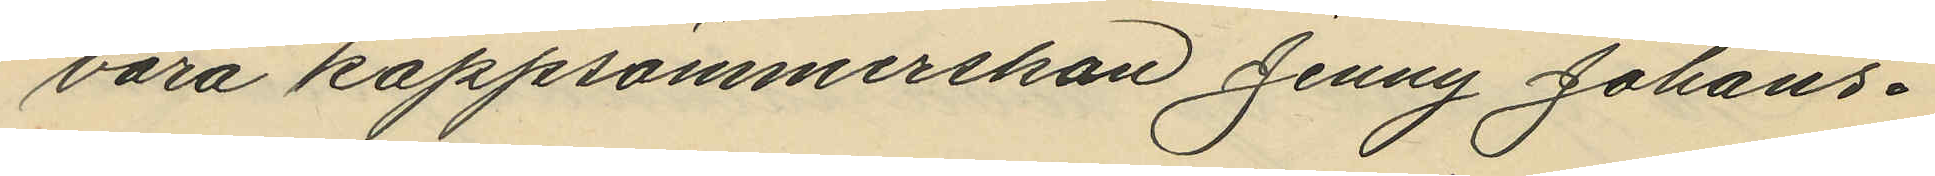vara kappsömmerskan Jenny Johans¬
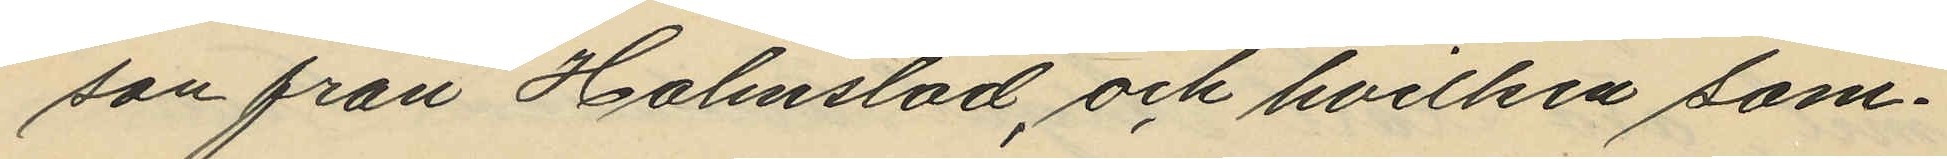son från Halmstad, och hvilken sam¬
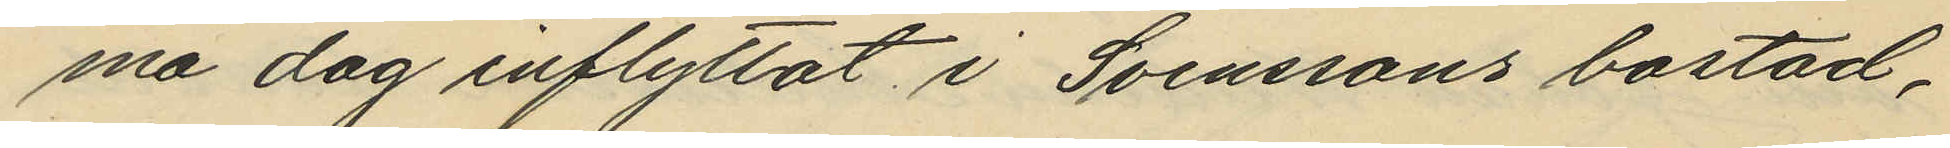ma dag inflyttat i Svenssons bostad,
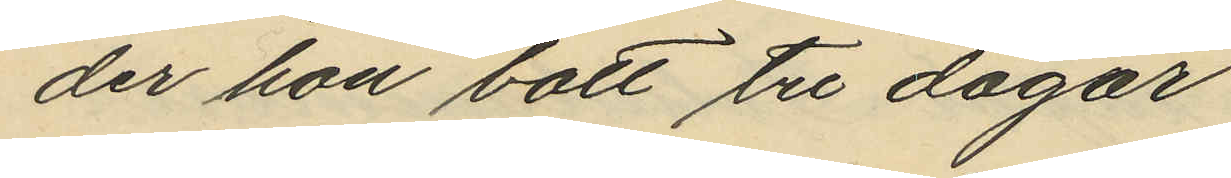der hon bott tre dagar.
